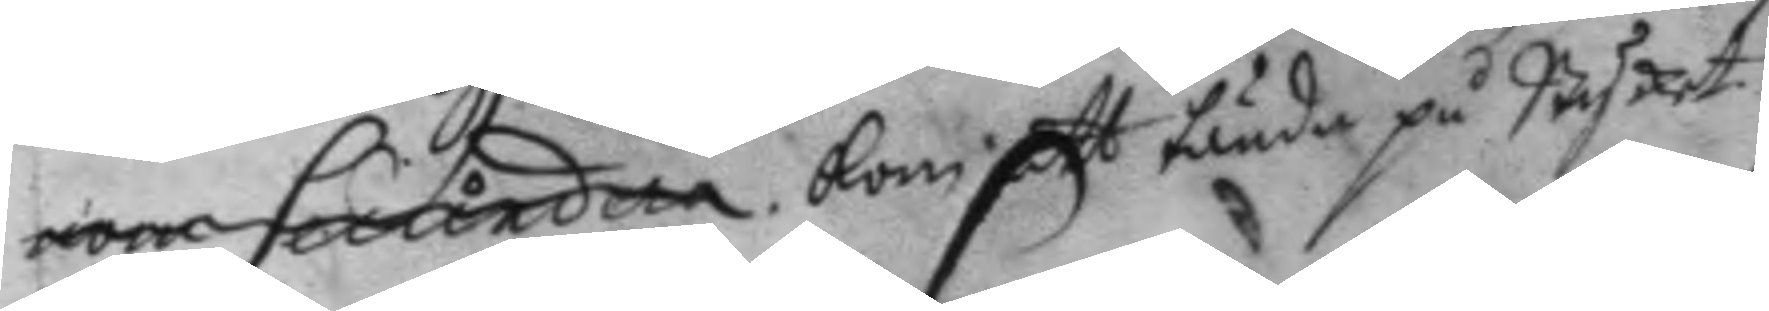nom secundera. kom att tända på Stycket.
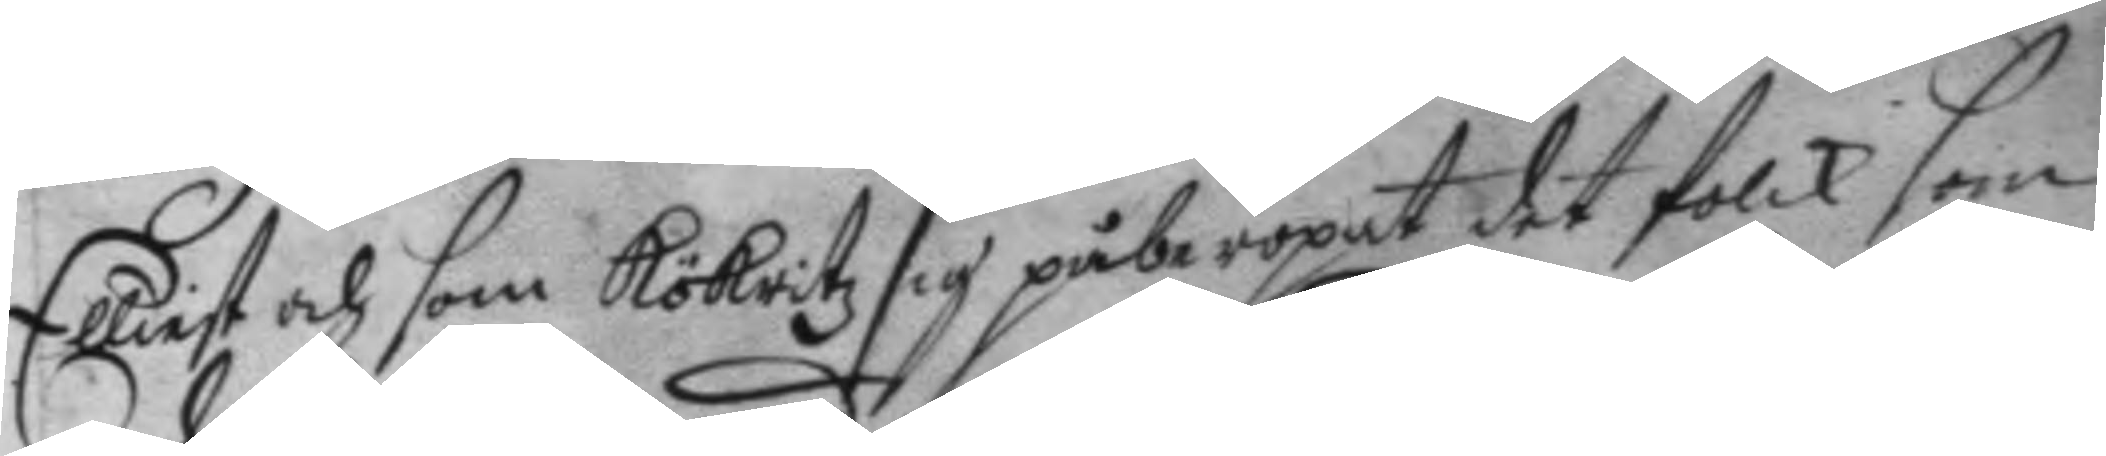Elliest som Kökritz sig påberopat det folck som
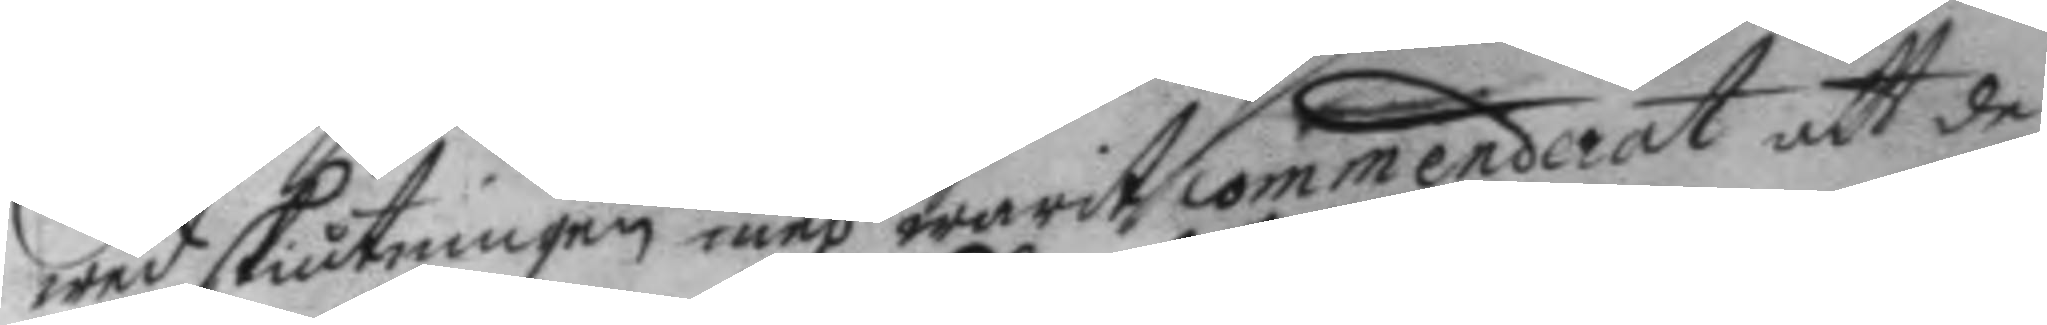wed skiutningen med warit commenderat att de
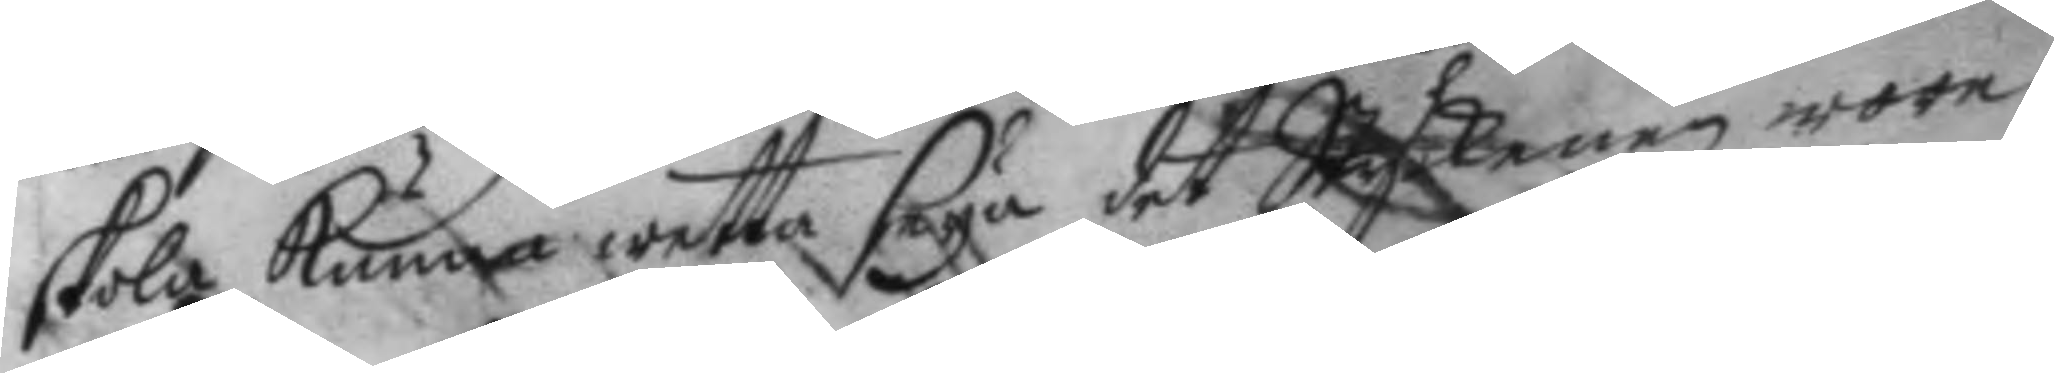skola kunna wetta seya det Styckenen wore
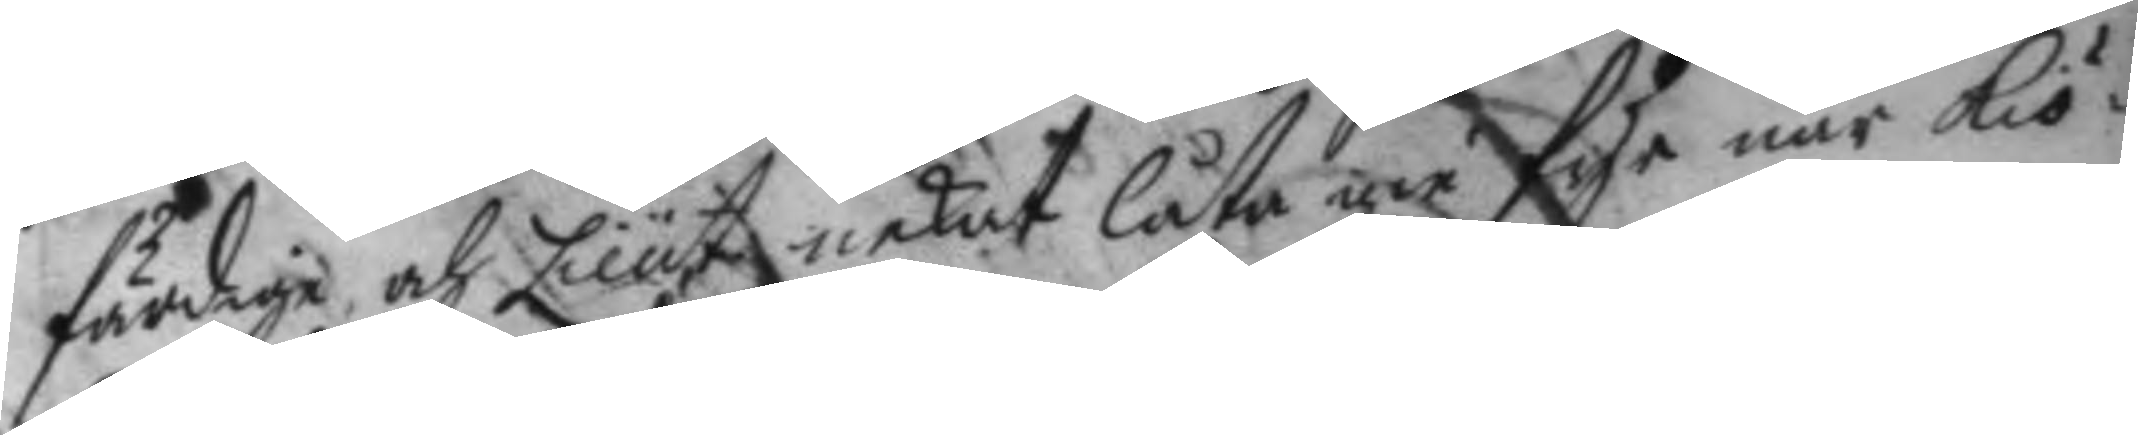färdige och Lieut nekat låta gie fyr när Kiö¬
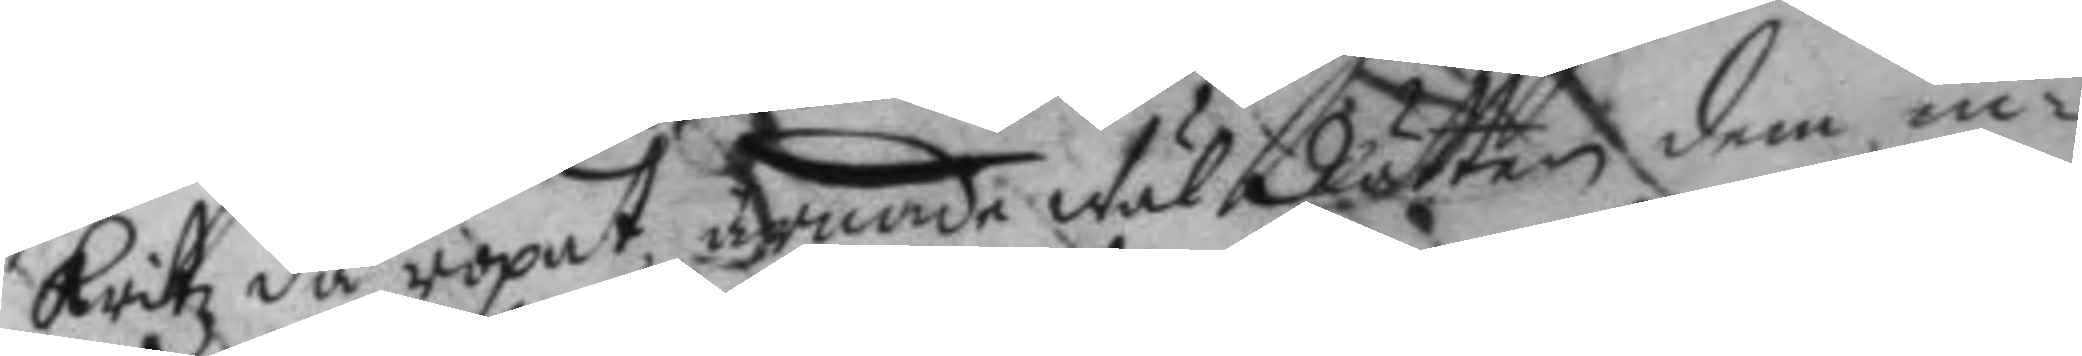kritz då ropat, ärnade wäl Rätten dem in¬
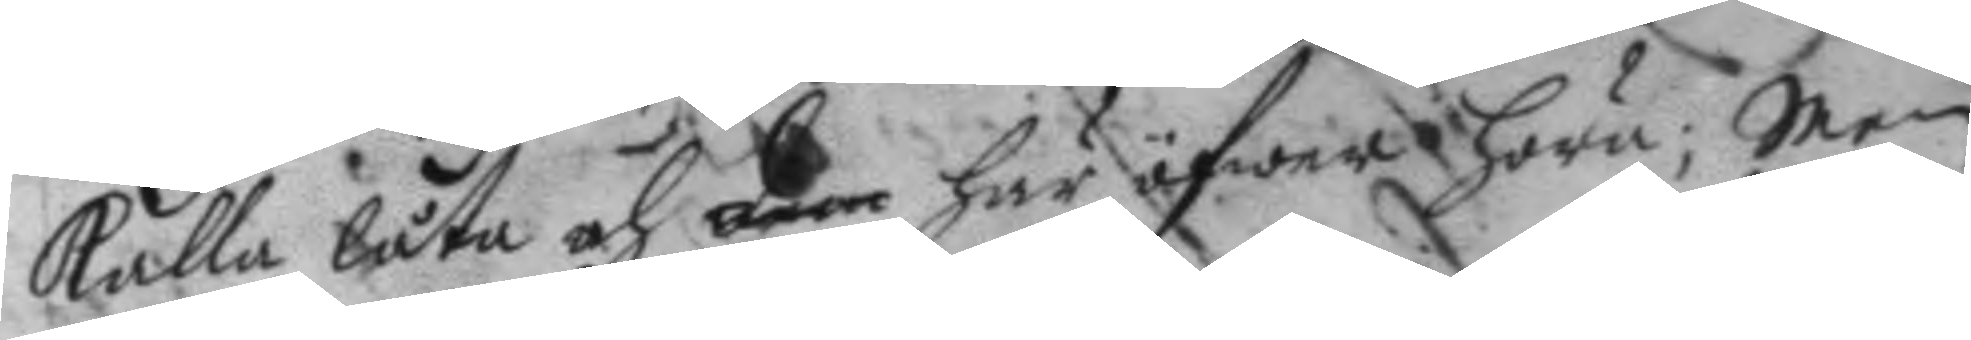kalla låta och dem här öfwer höra; men
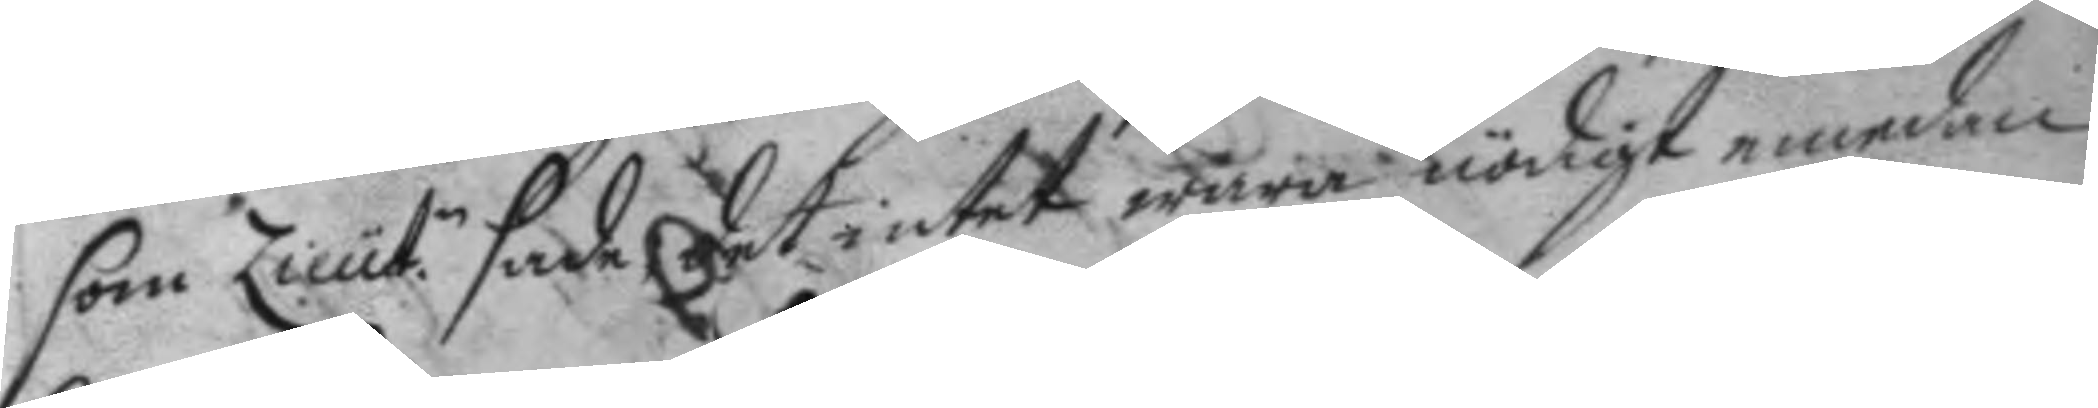som Lieut.n sade det intet wara nödigt emedan
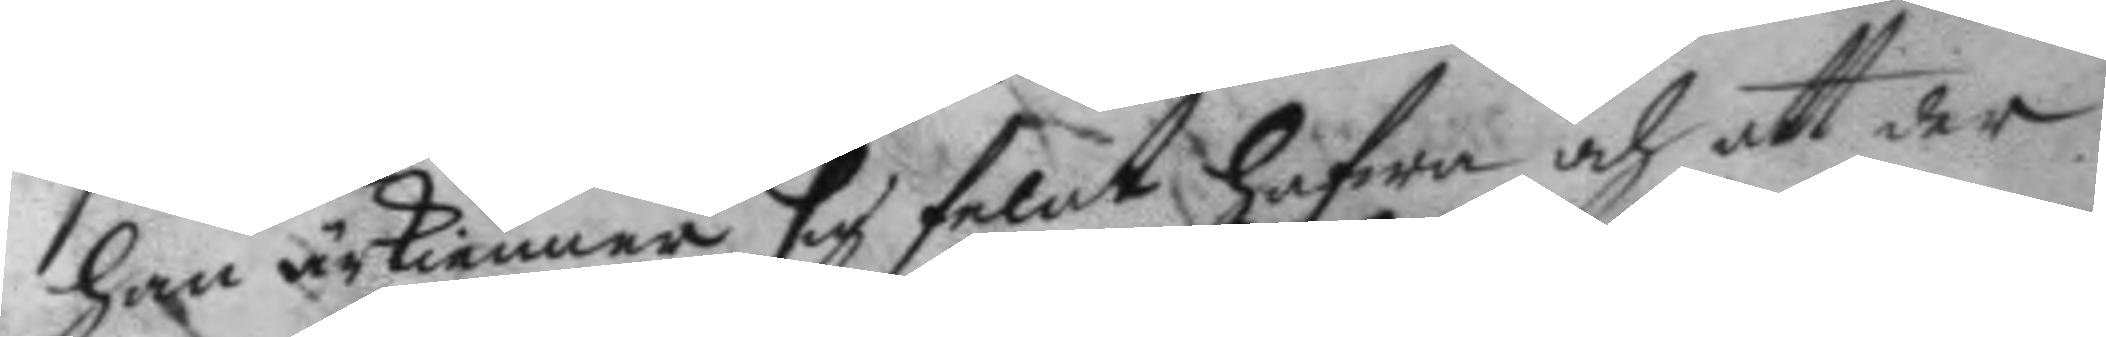han ärkiänna sig felat hafwa och att der
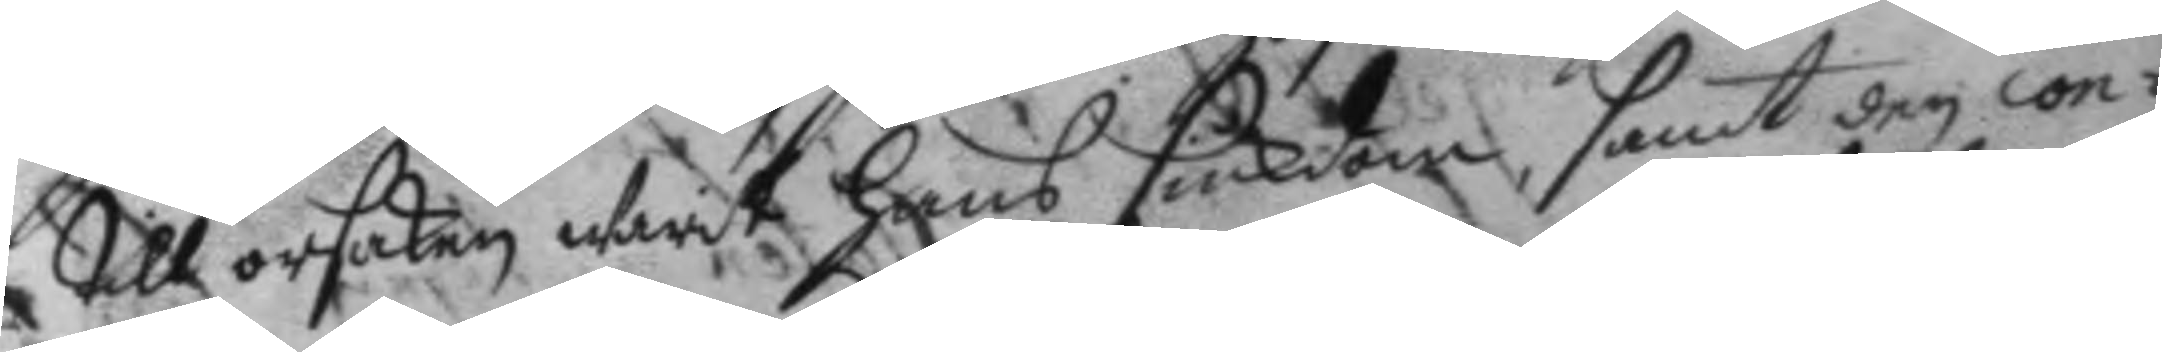till orsaken warit hans siukdom, samt den con¬
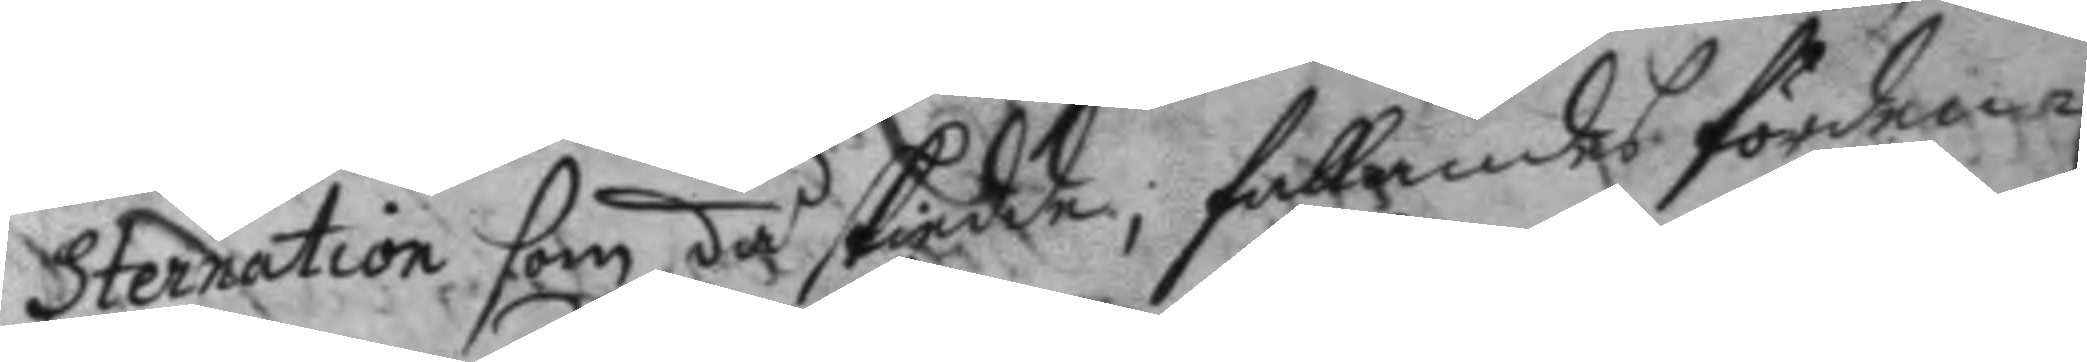sternation som då skiedde, fallandes förden¬
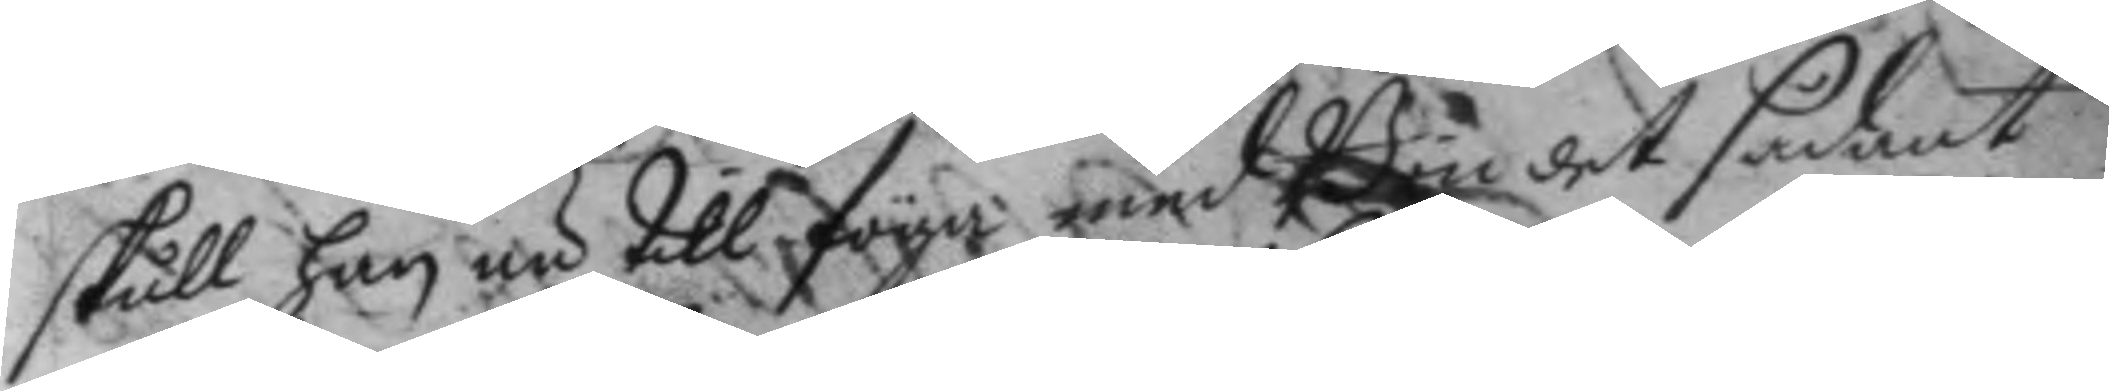skull han nu till föga med Bön det sådant
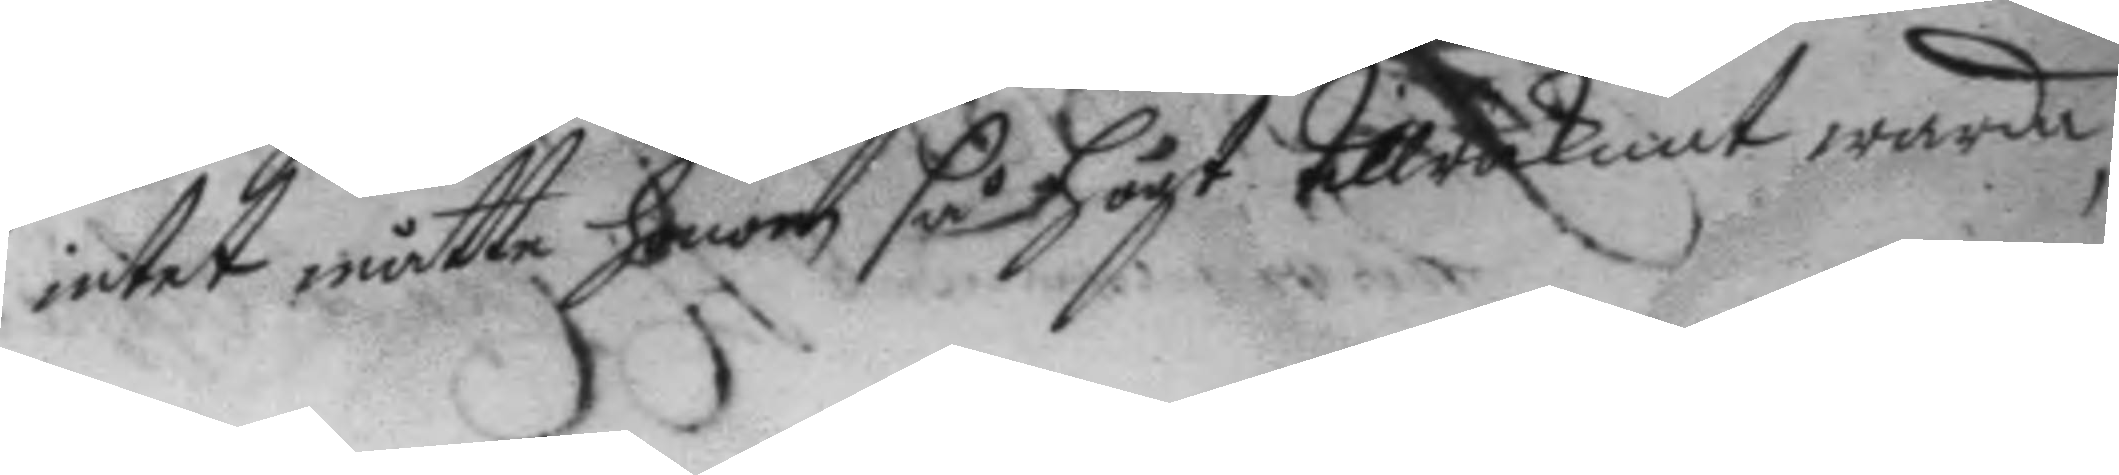intet måtte honom så högt tillräknat warda,
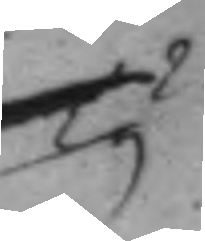Ty
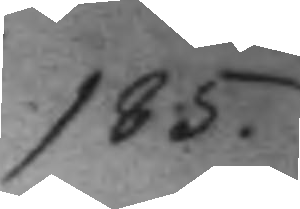185.
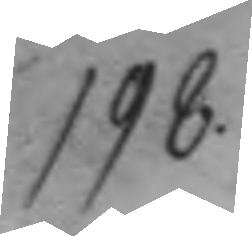198.
